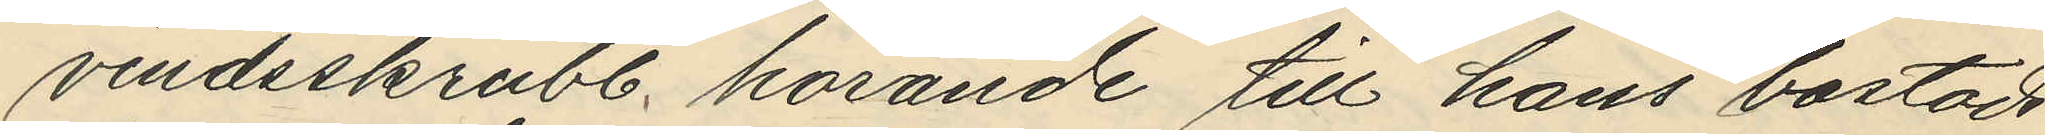vindsskrubb, hörande till hans bostads¬
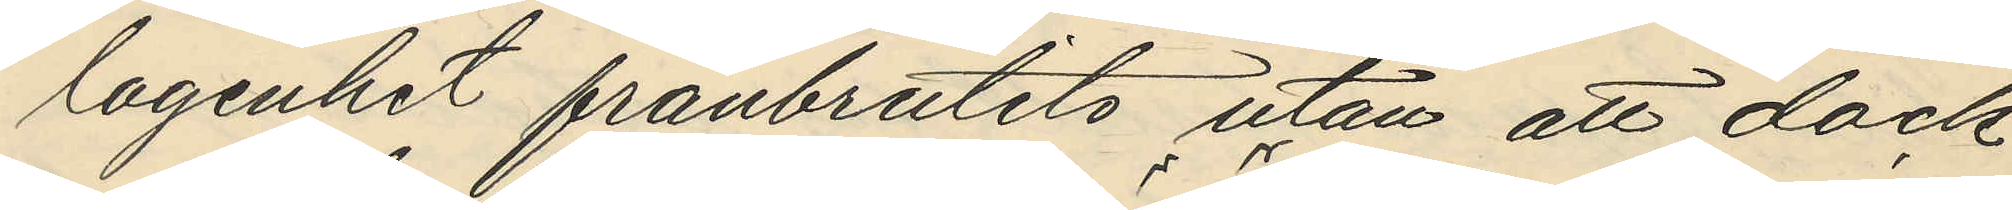lagenhet frånbrutits utan att dock
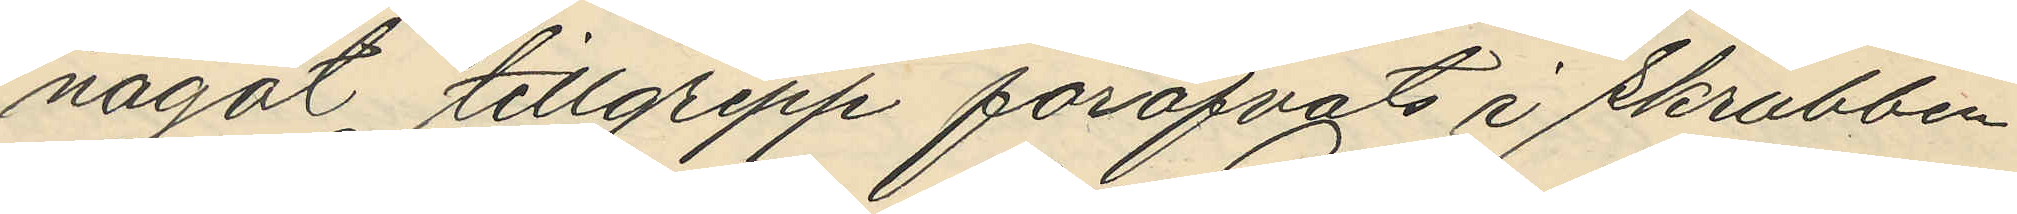något tillgrepp föröfvats i skrubben.
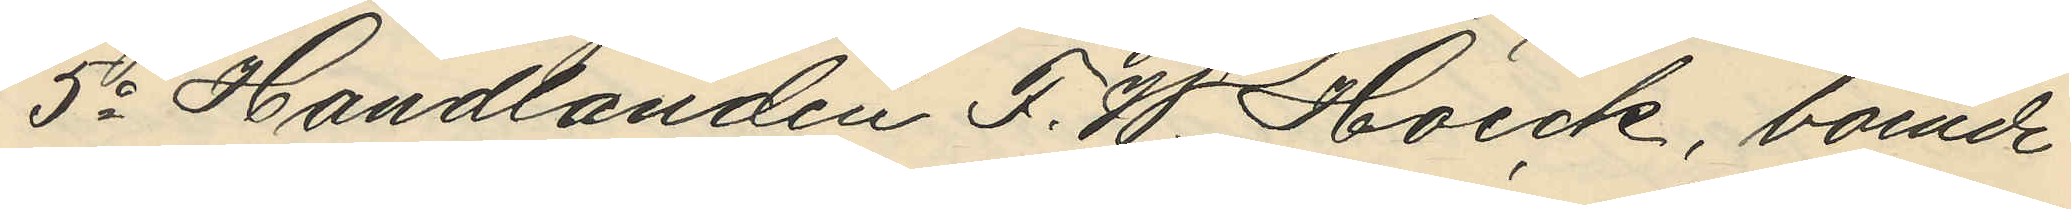5o Handlanden F. W. Hoeck, boende
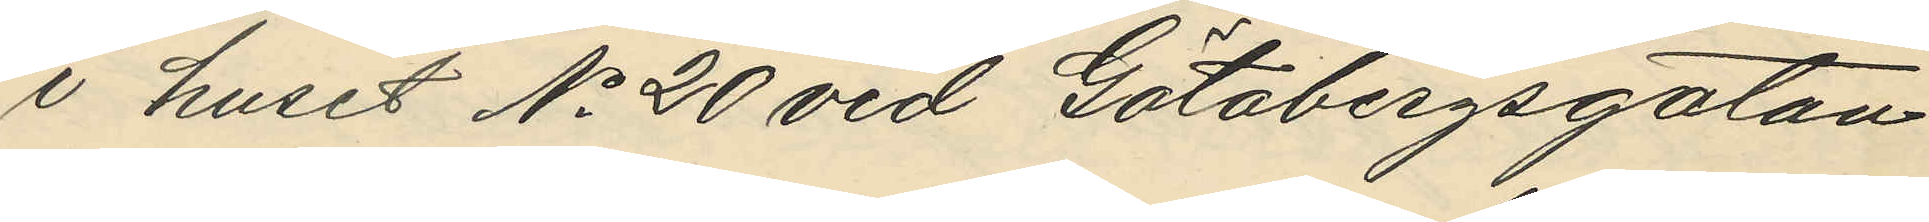i huset No 20 vid Götabergsgatan
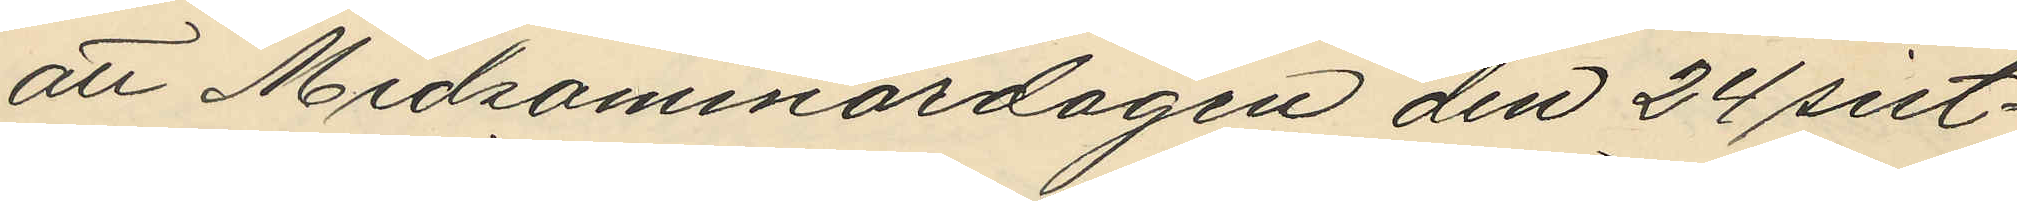att Midsommardagen den 24 sist¬
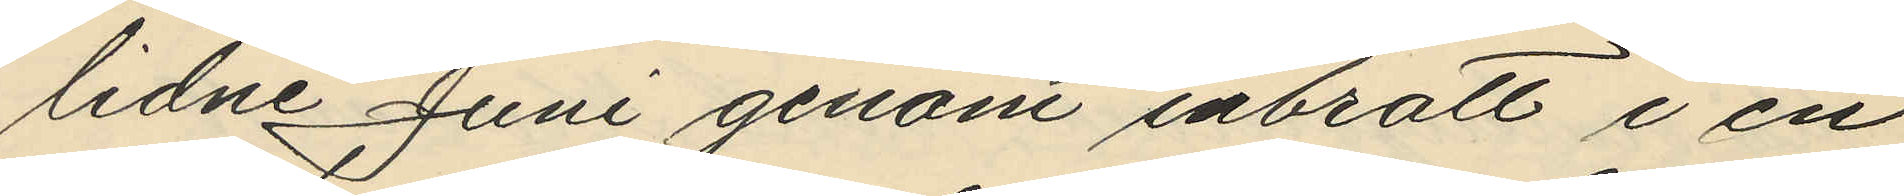lidne Juni genom inbrott i en
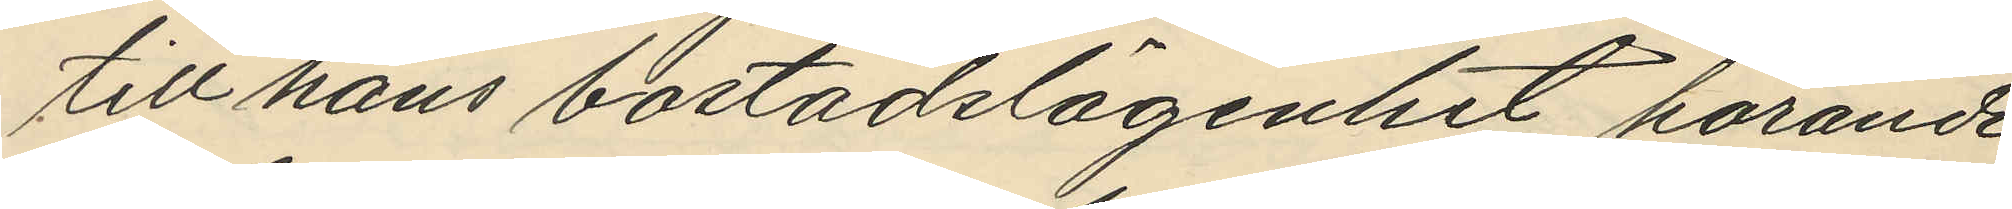till hans bostadslägenhet hörande
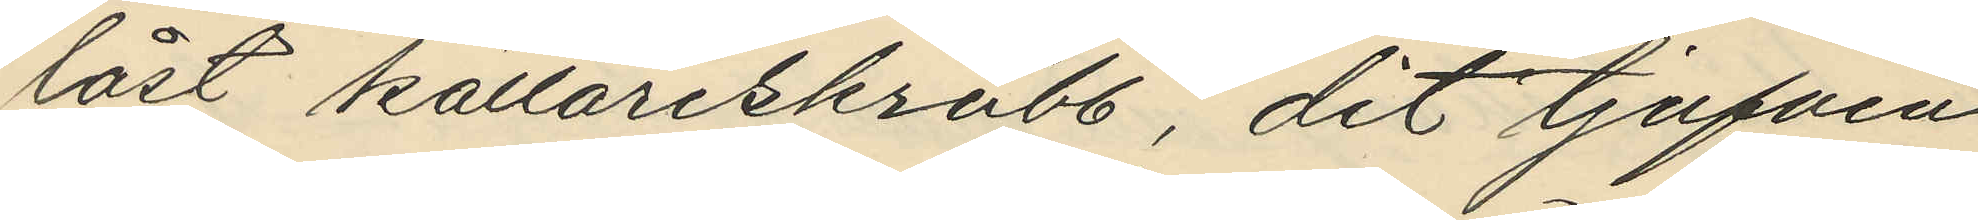låst källareskrubb, dit tjufven
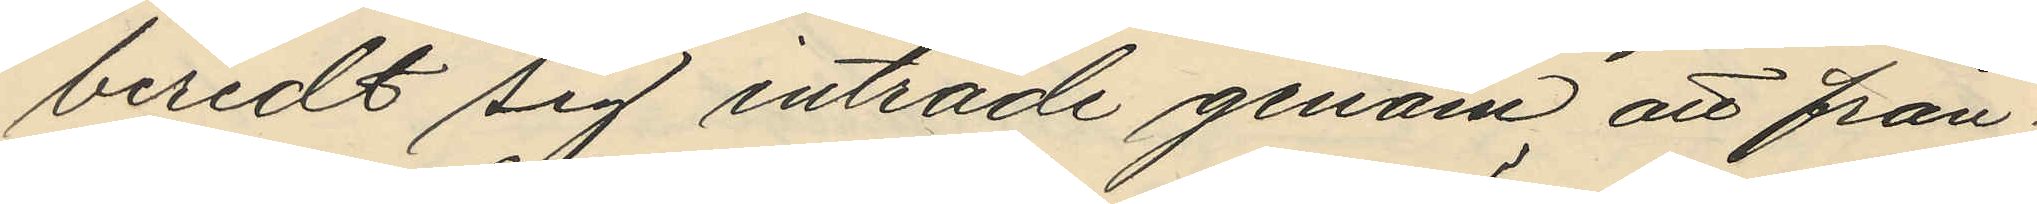beredt sig inträde genom att från¬
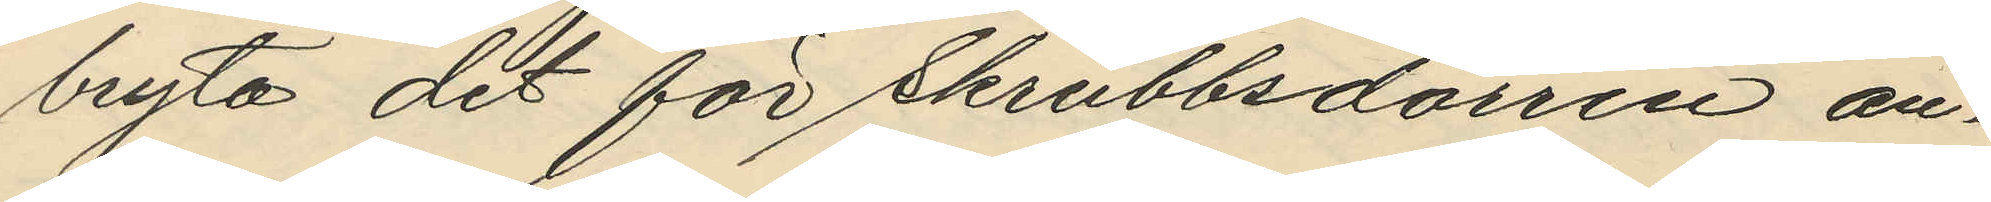bryta det för skrubbsdörren an¬
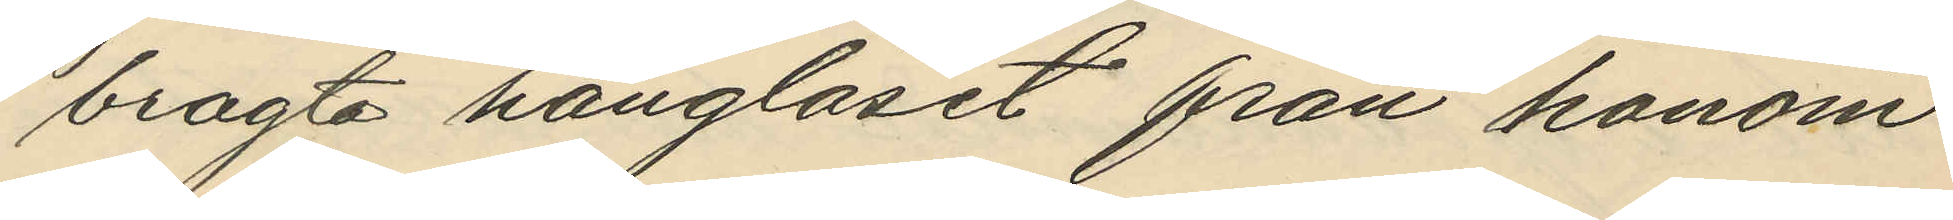bragta hänglåset från honom
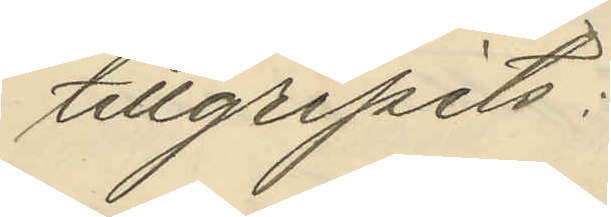tillgripits:
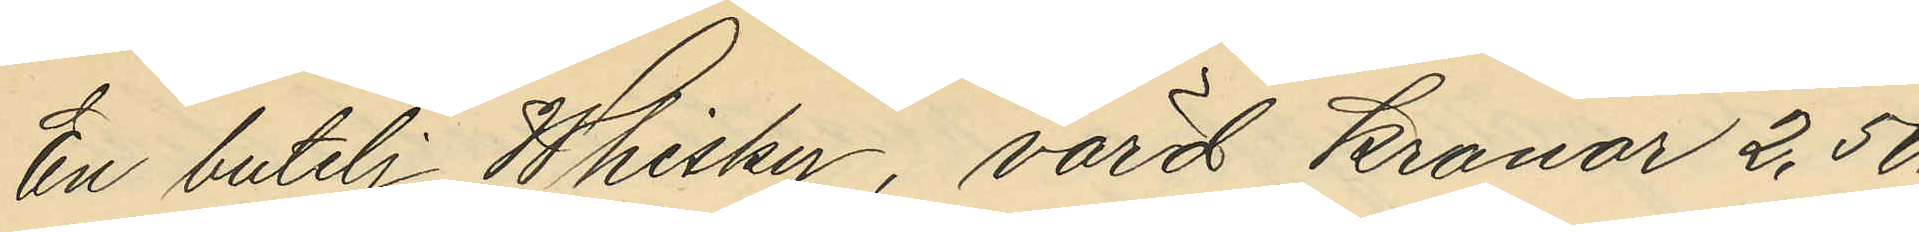En butelj Whisky, värd kronor 2,50.
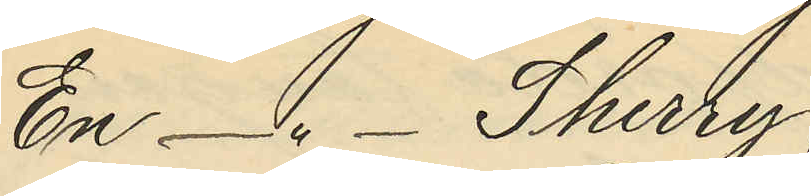En - " - Sherry,
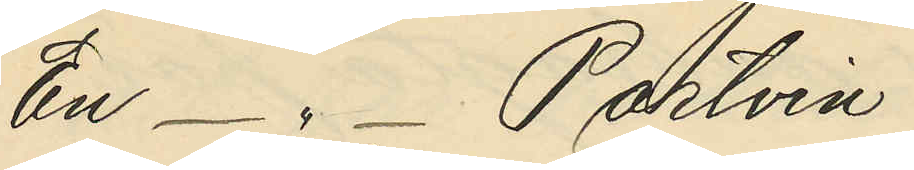En - " - Portvin
